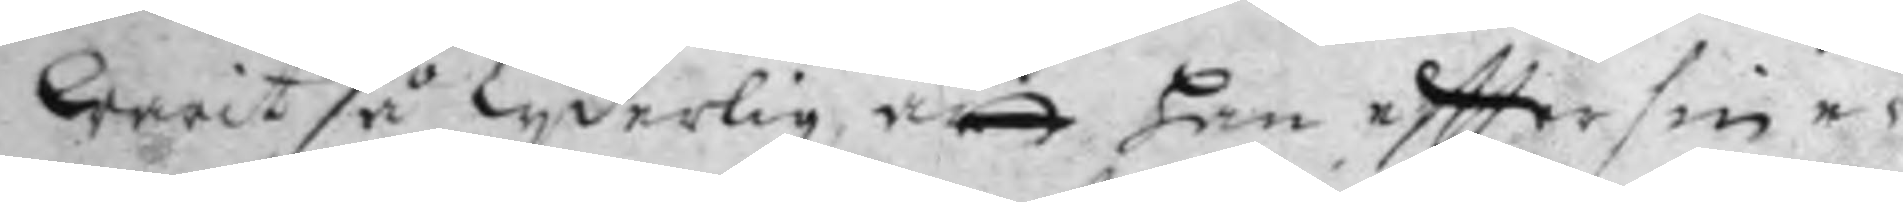warit så lyderlig att han eftter sin e¬
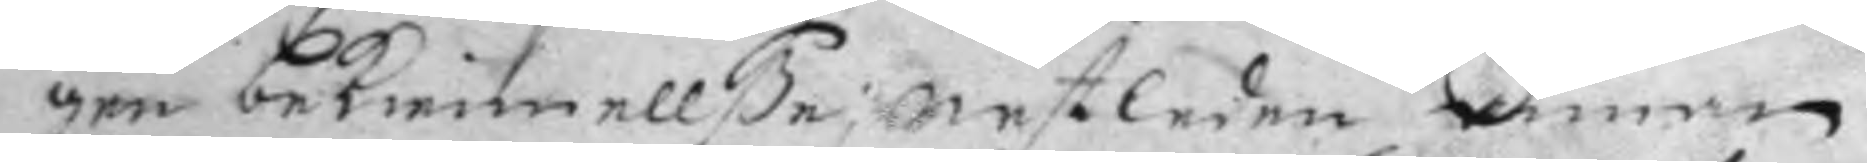gen bekiennellße nestledne annan
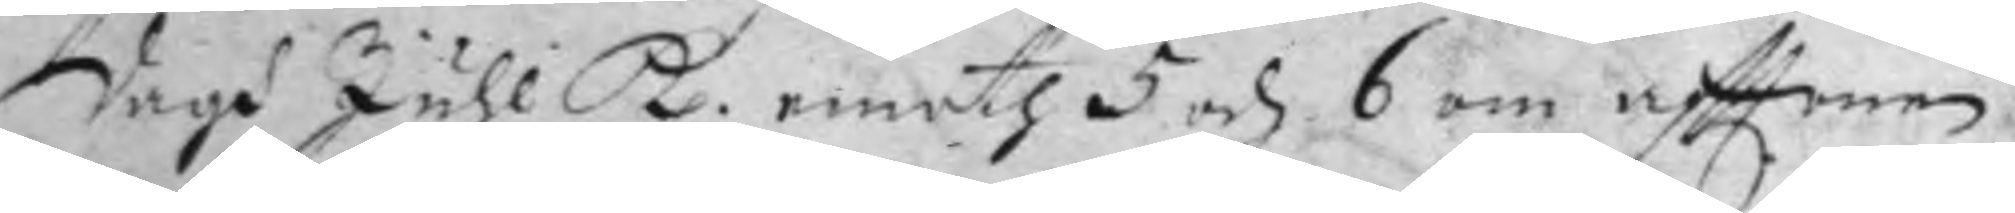dagh Juhl kl. emoth 5 och 6 om afttonen
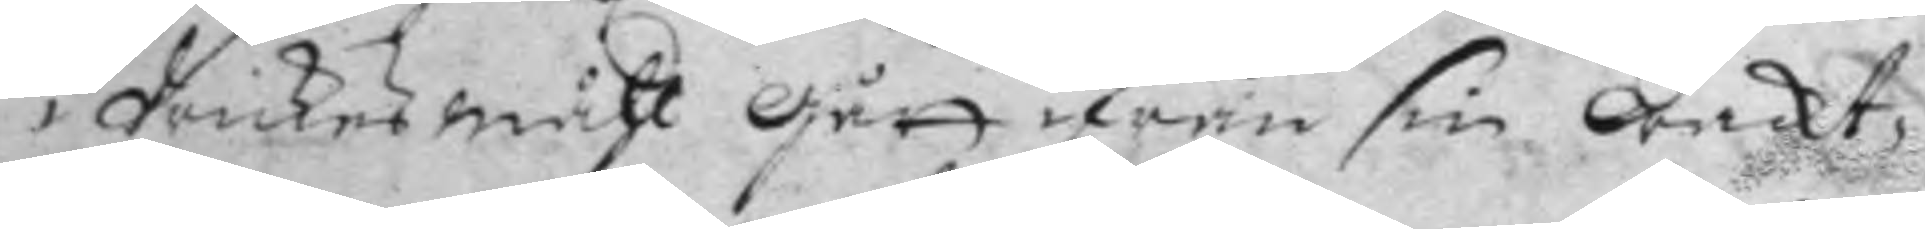i drickesmåhl gått ifrån sin wacht¬
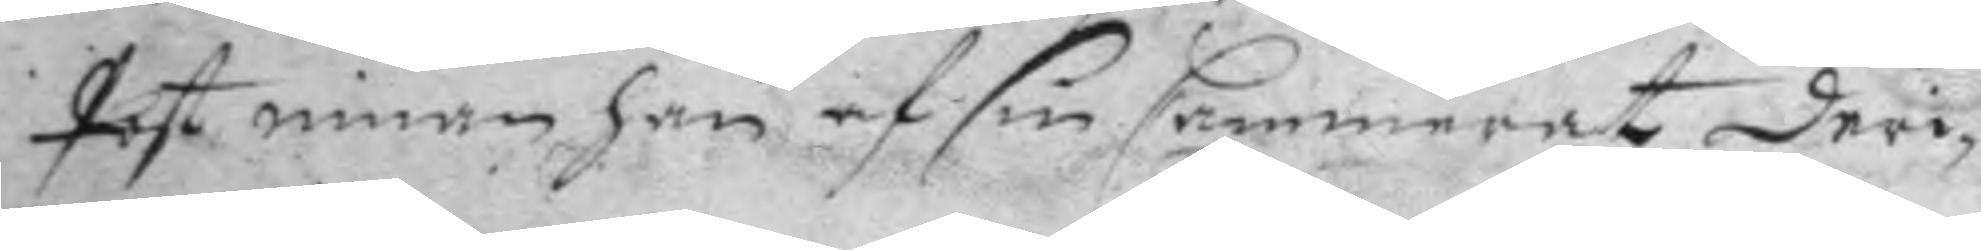post innan han af sin Cammerat deri¬
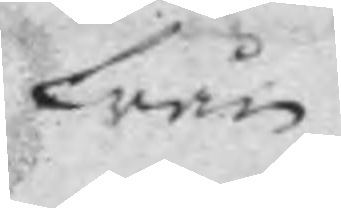från
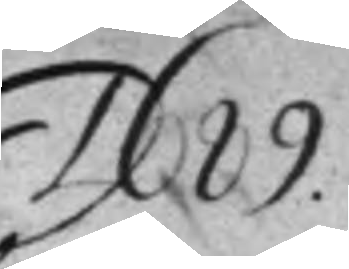1689
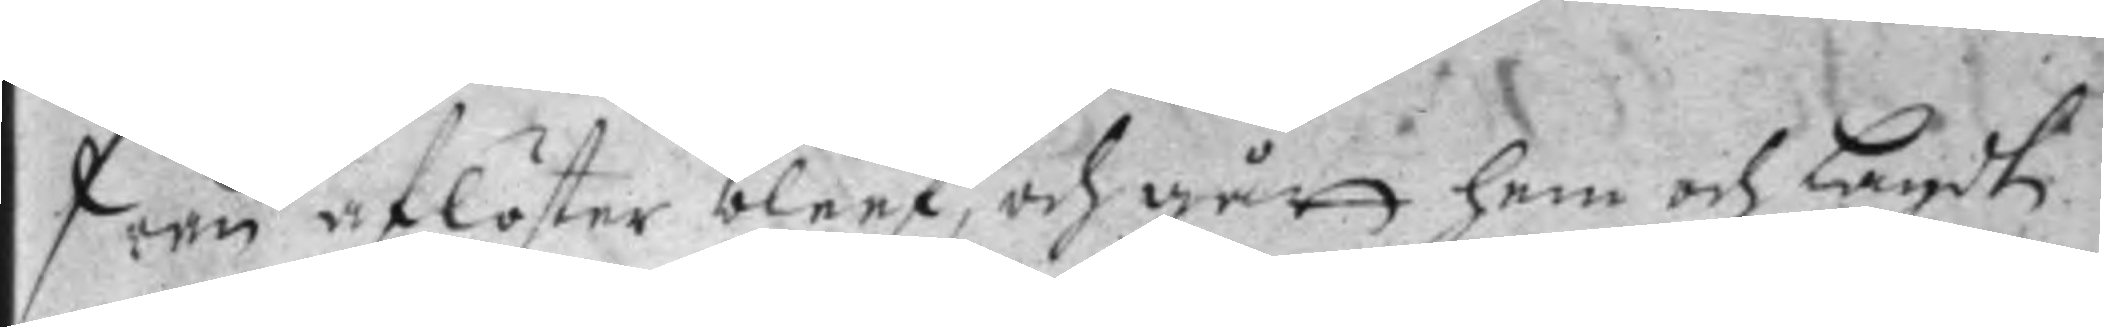från aflöster bleef, och gått hem och lagdt
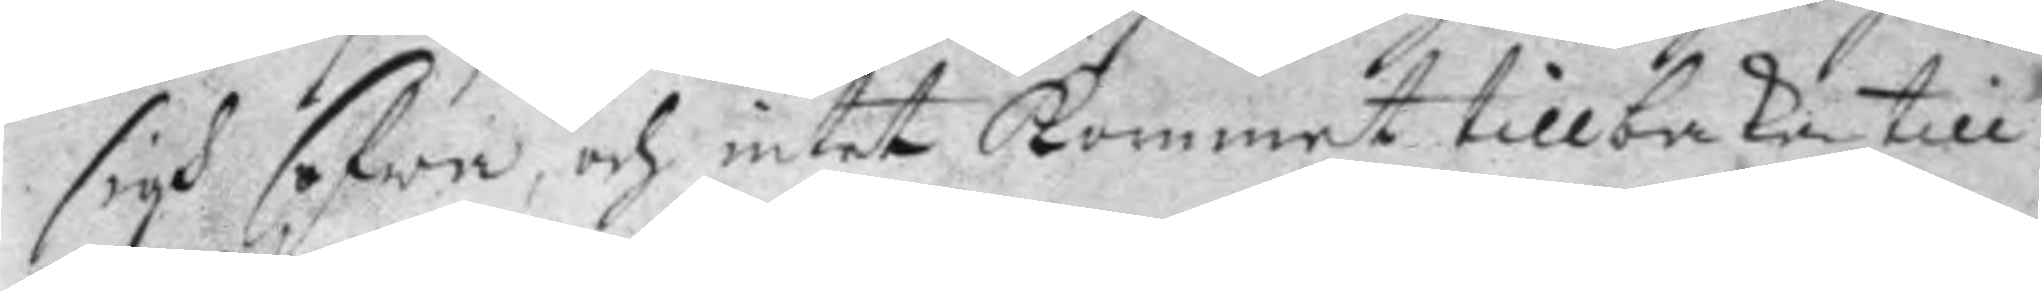sigh sofwa, och intet kommit tillbaka till
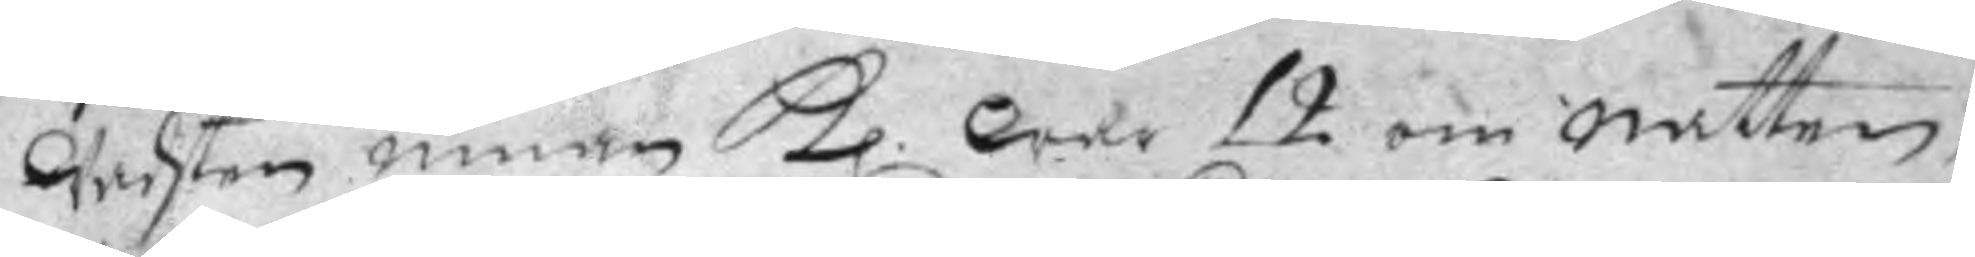wachten innan kl. war 12 om natten,
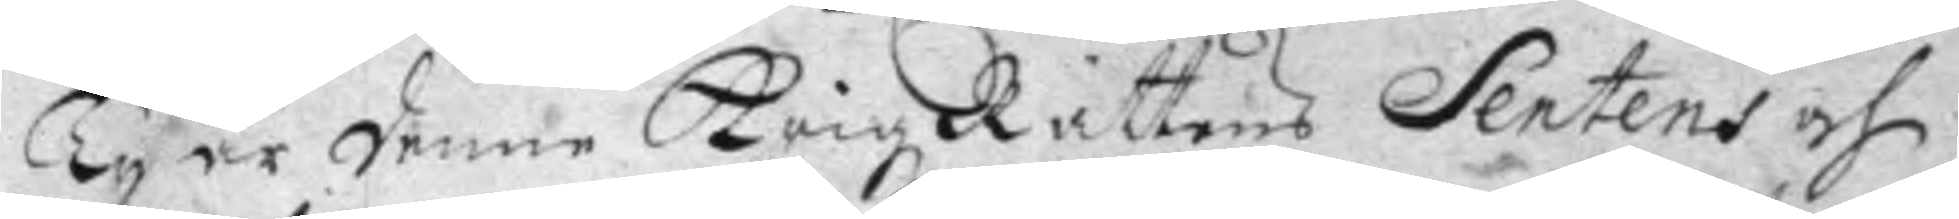ty är denne Krigz Rättens Sentens och
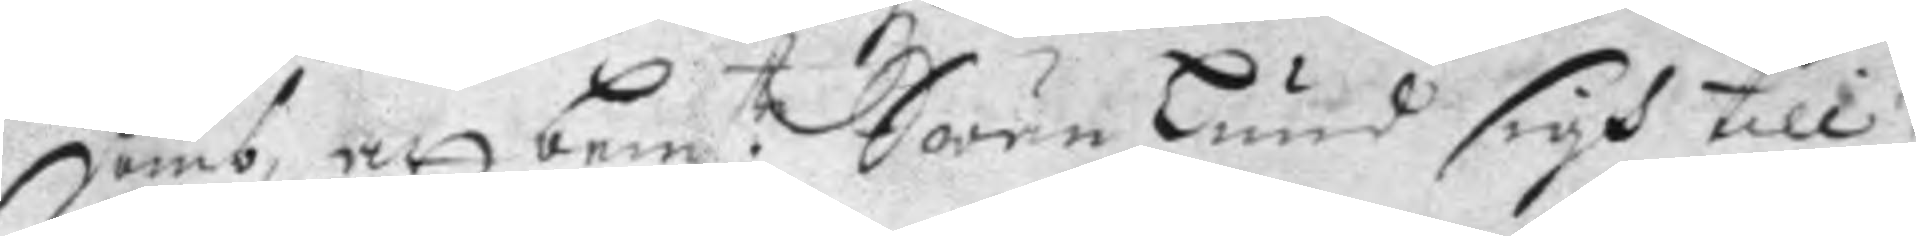domb, att bem:te Swän Lund sigh till
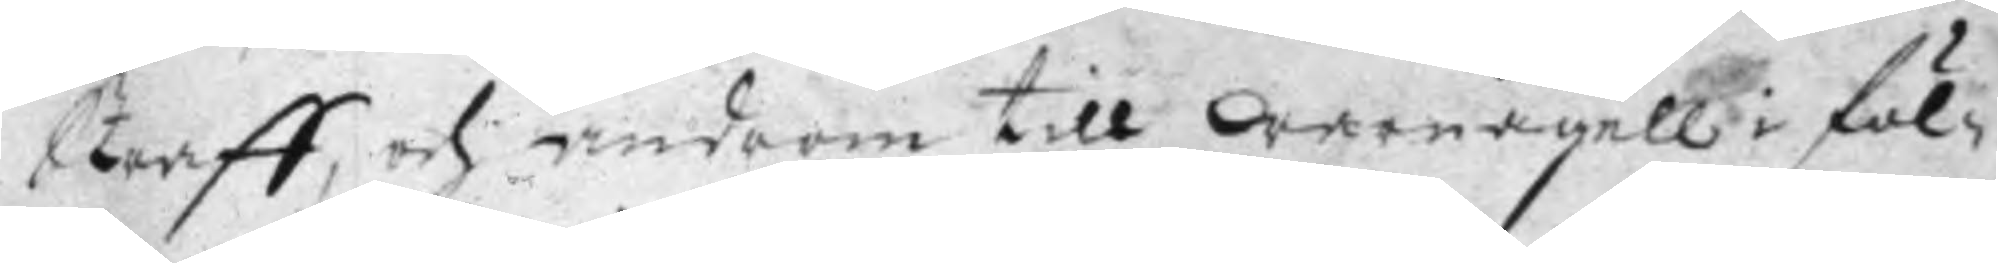Straff, och androm till warnagell i föl¬
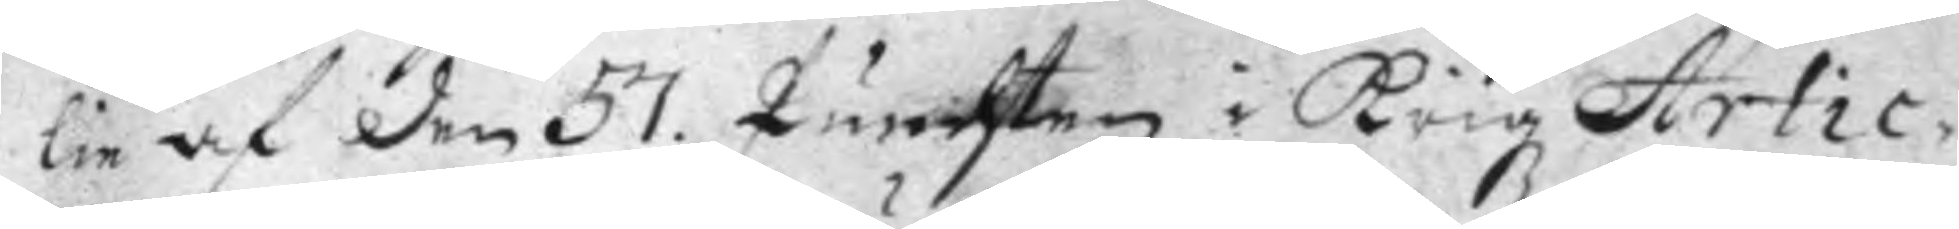lie af den 57. Punchten i Krigz Artic¬
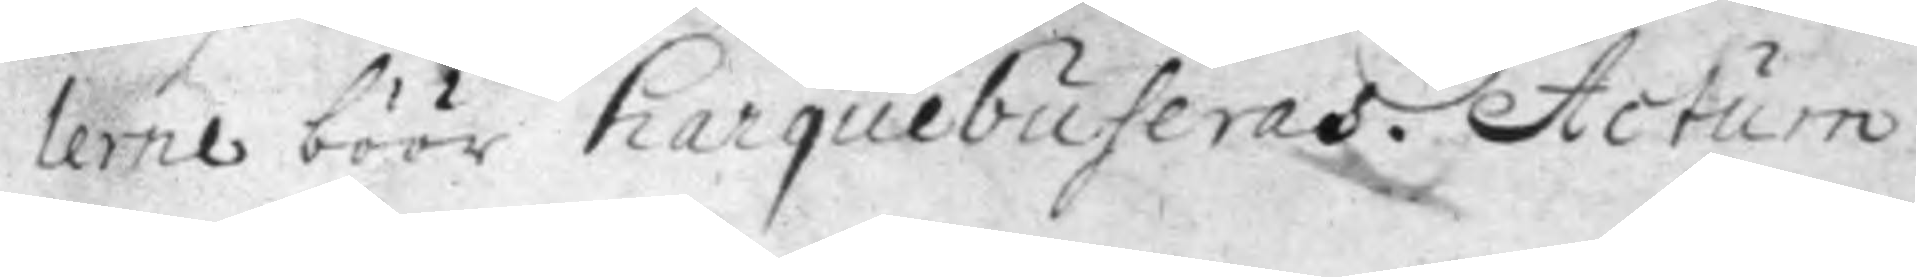lerne böör harquebuseras. Actum
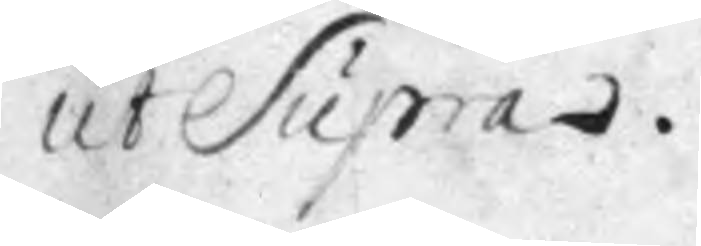ut Supra.
